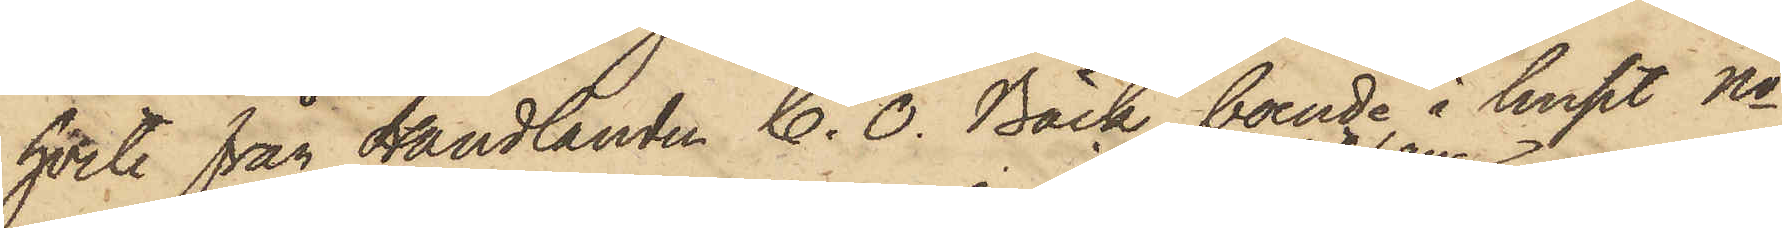hvete från Handlanden C. O. Bäck, boende i huset No
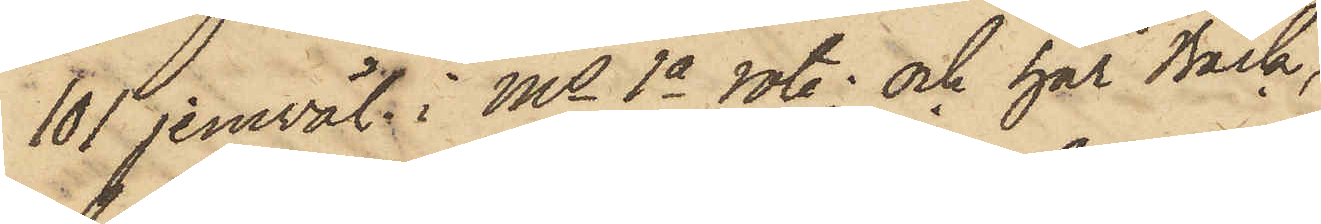101 jemväl i Ms 1a rote; och har Bäck,
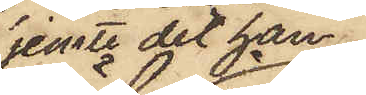jemte det han
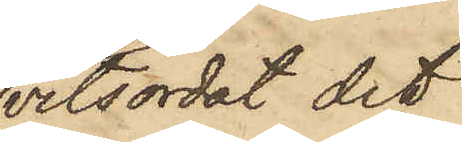vitsordat det
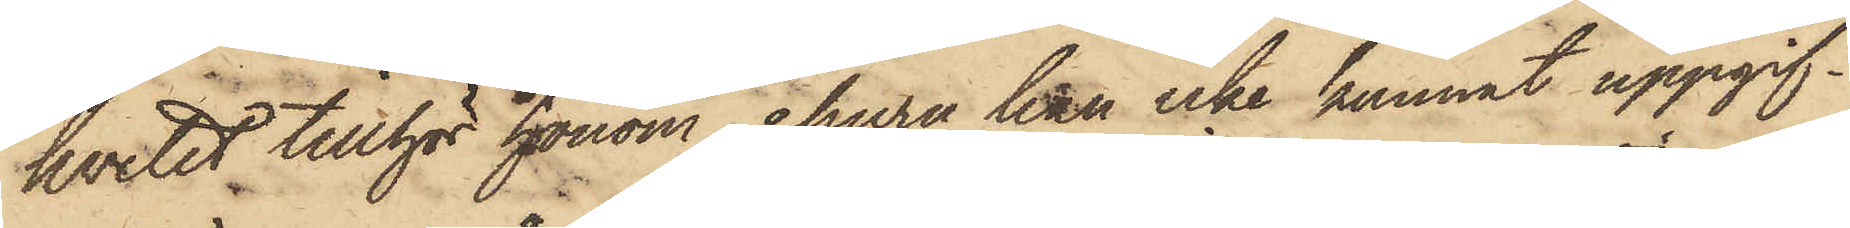hvetet tillhör honom, ehuru han icke kunnat uppgif¬
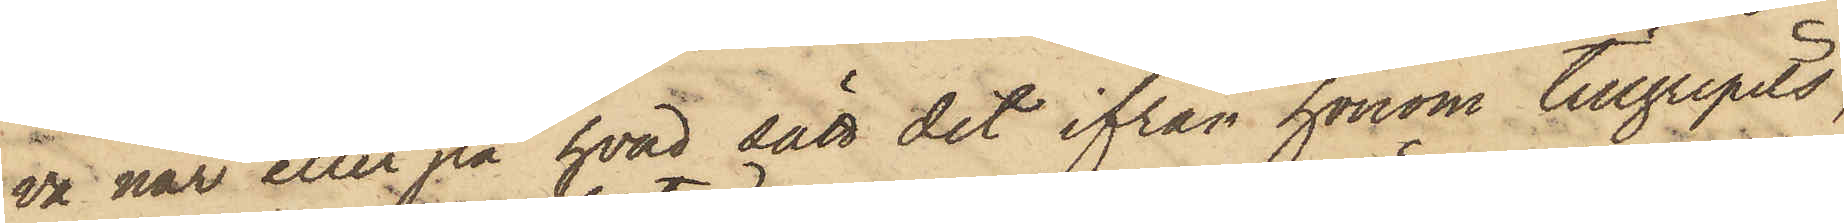va när eller på hvad sätt det ifrån honom tillgripits,
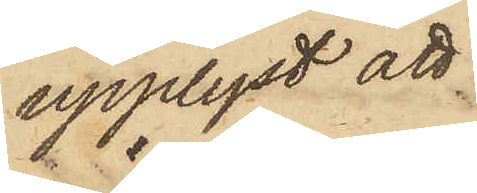upplyst att
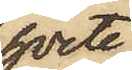hvete
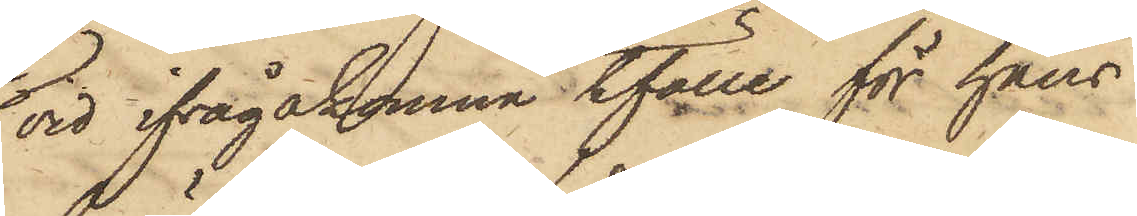vid ifrågakomne tfälle för hans
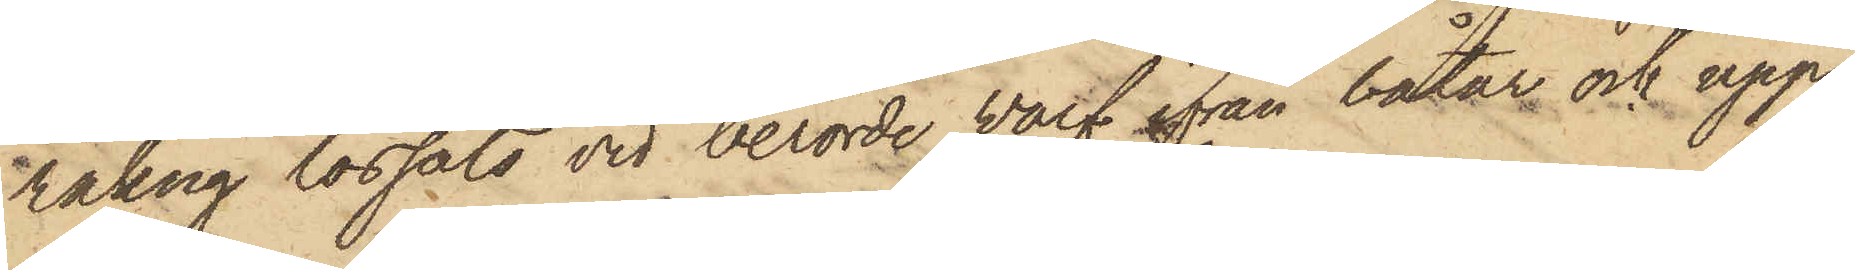räkng lossats vid berörde varf ifrån båtar och upp¬
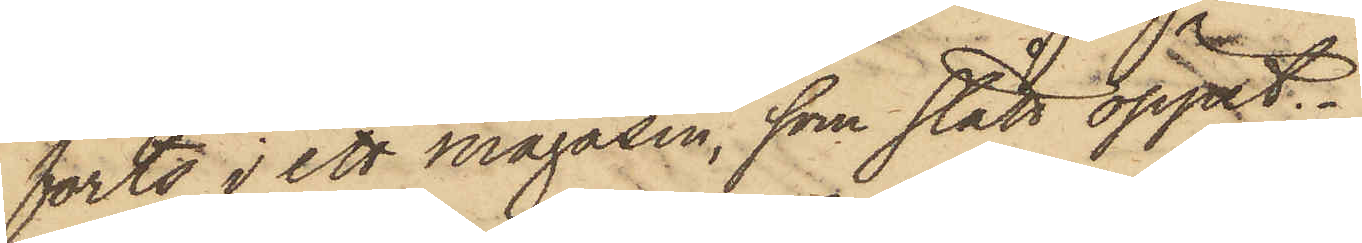förts i ett magasin, som stått öppet.
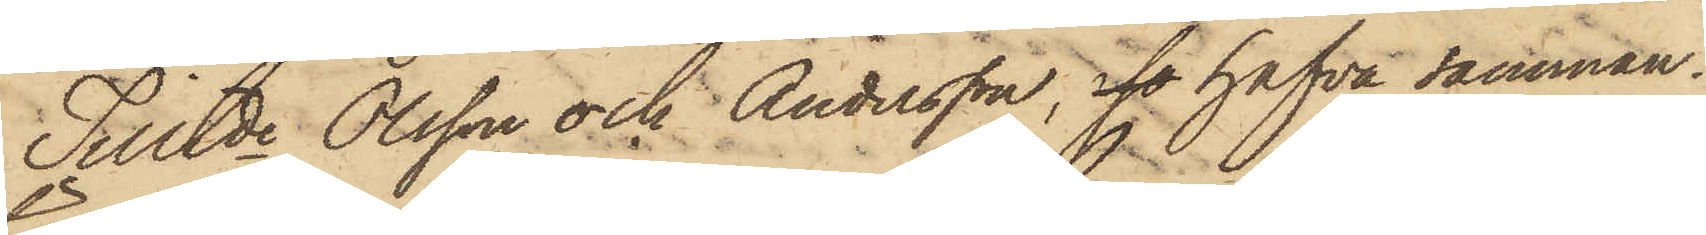Tilltde Olsson och Andersson, so hafva samman¬
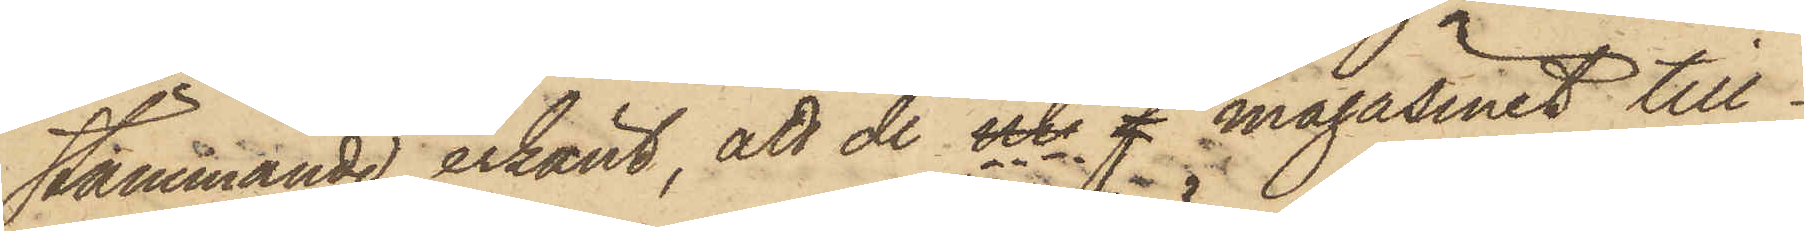stämmande erkänt, att de uti f magasinet till¬
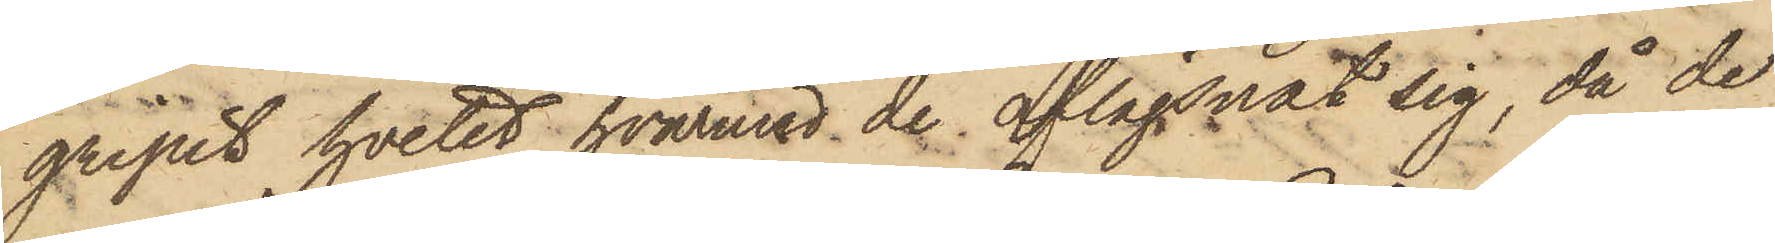gripit hvetet, hvarmed de aflägsnat sig, då de
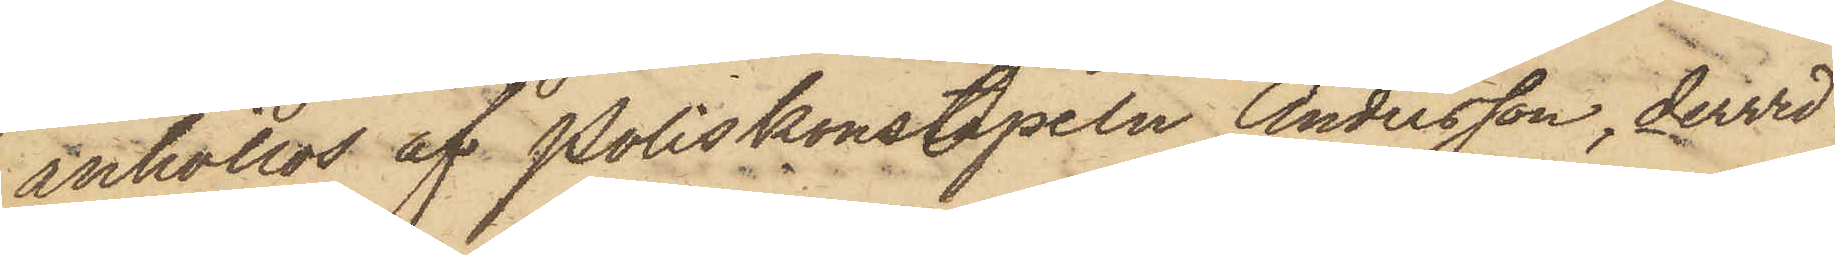anhöllos af Poliskonstapeln Andersson, dervid
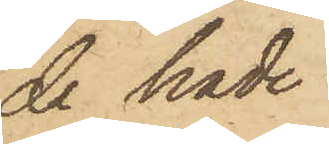de hade
